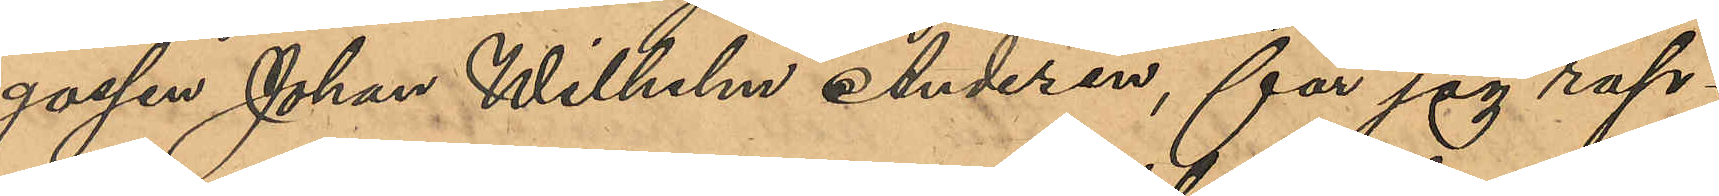gossen Johan Wilhelm Andersen, får jag rap¬
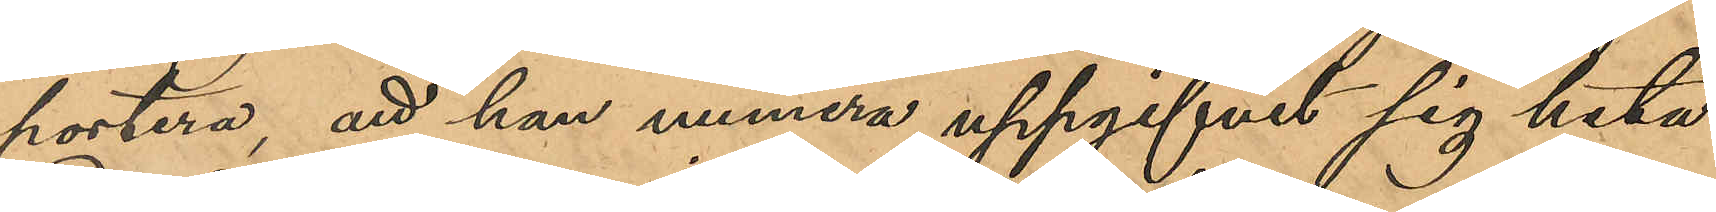portera, att han numera uppgifvit sig heta
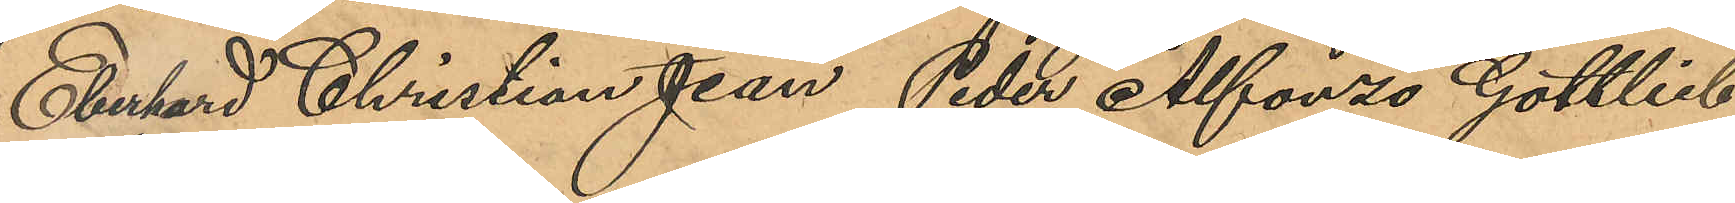Eberhard Christian Jean Peder Alfonzo Gottlieb
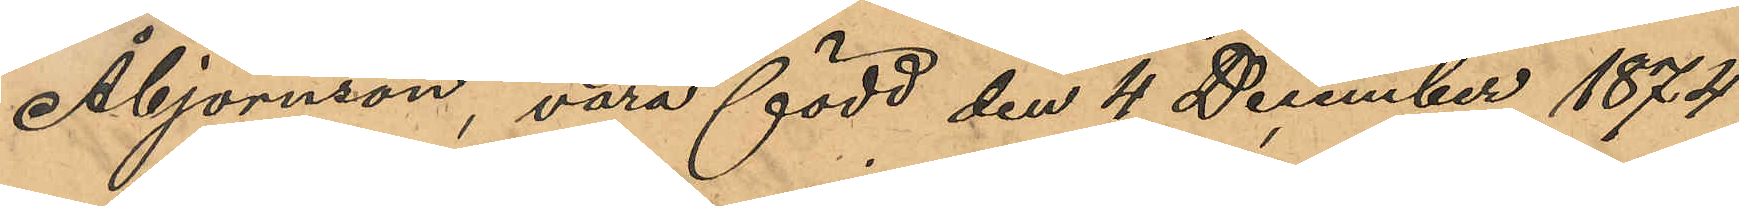Åbjörnson, vara född den 4 December 1874
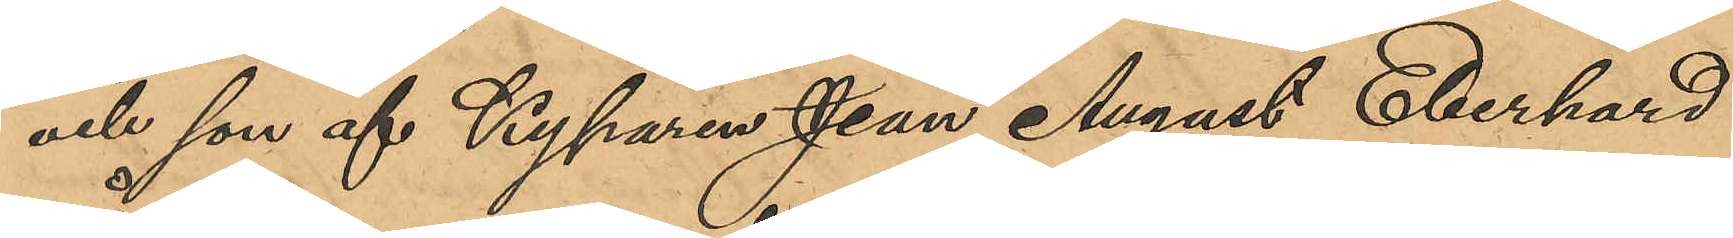och son af Kyparen Jean August Eberhard
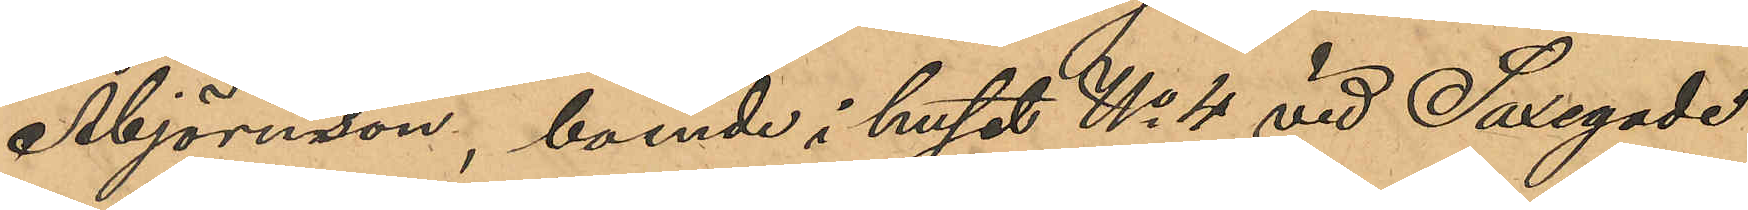Åbjörnson, boende i huset No 4 vid Saxegade
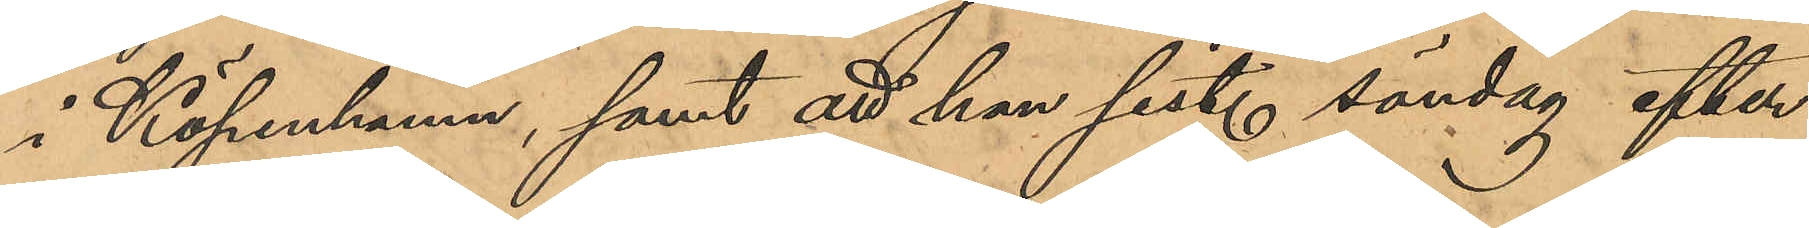i Köpenhamn, samt att han sist. söndag efter
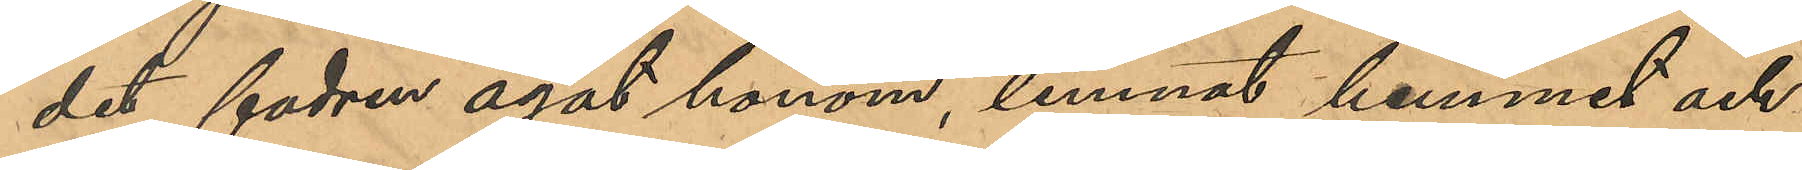det fadern agat honom, lemnat hemmet och
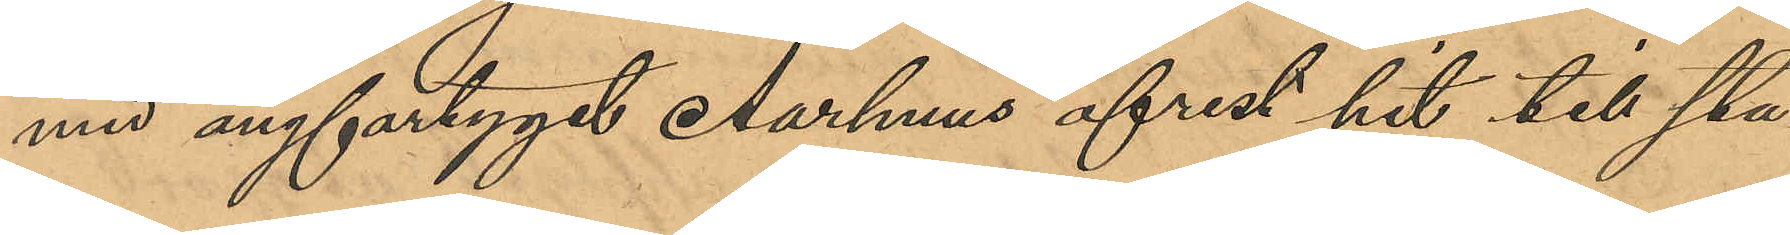med ångfartyget Aarhuus afrest hit till sta¬
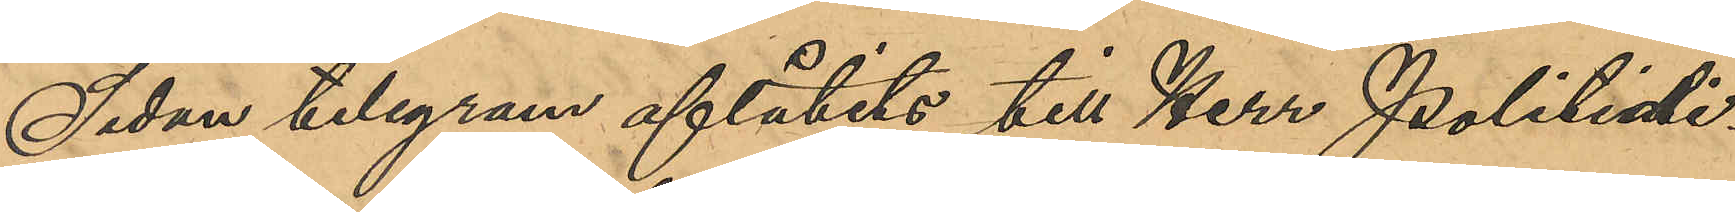Sedan telegram aflåtits till Herr Politidi¬
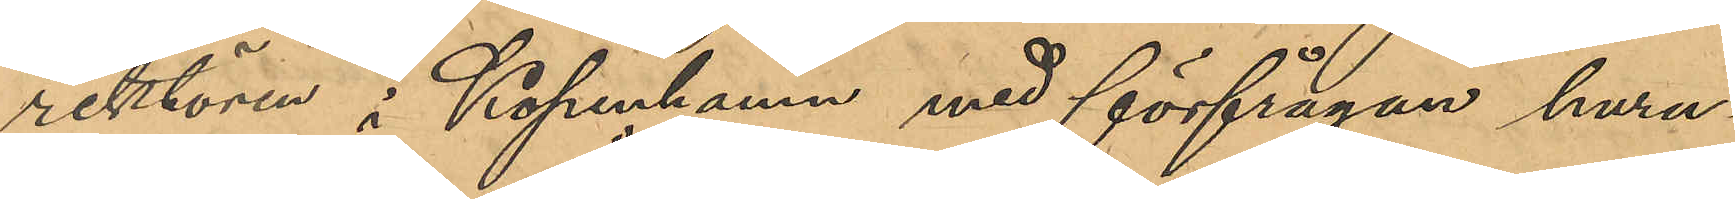rektören i Köpenhamn med förfrågan huru¬
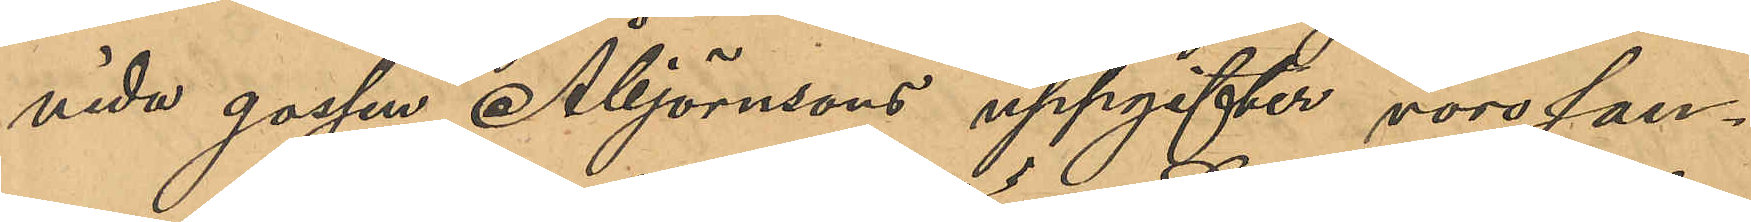vida gossen Åbjörnsons uppgifter voro san¬
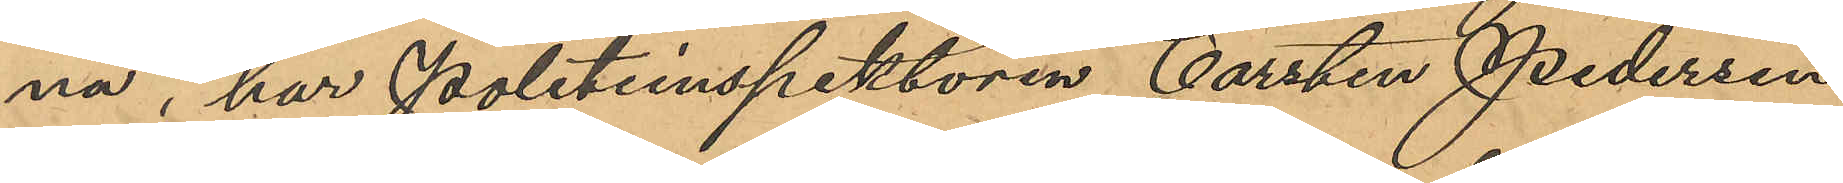na, har politiinspektören Carsten Pedersen
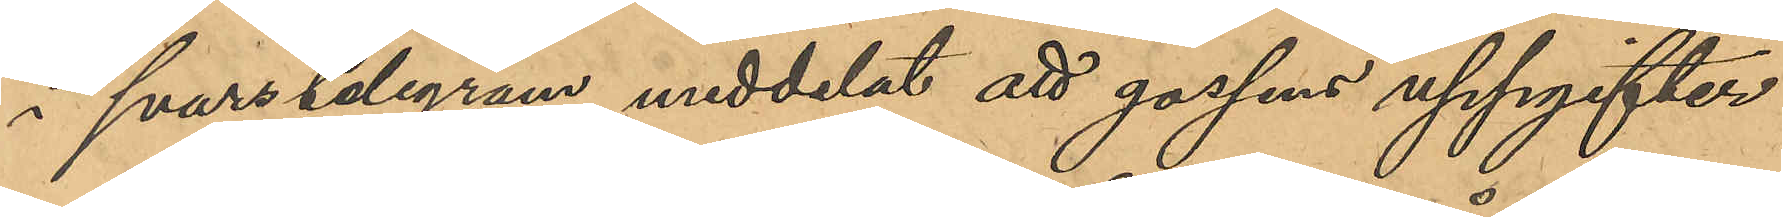å svarstelegram meddelat att gossens uppgifter
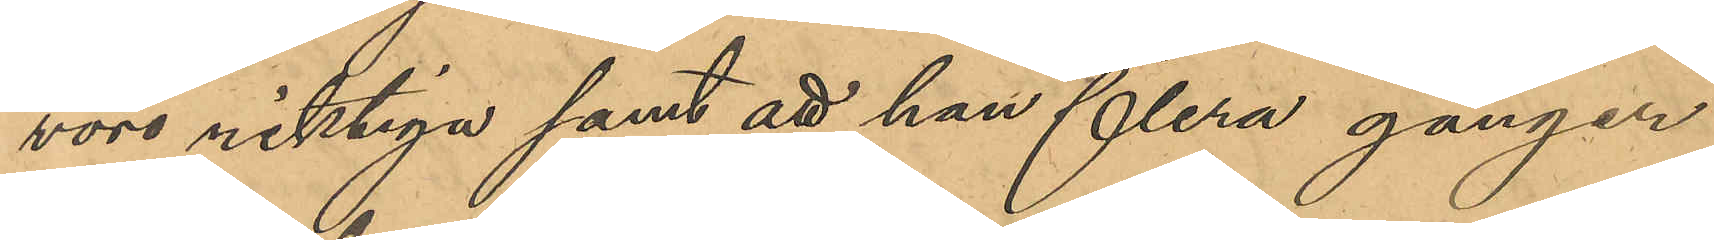voro riktiga samt att han flera gånger
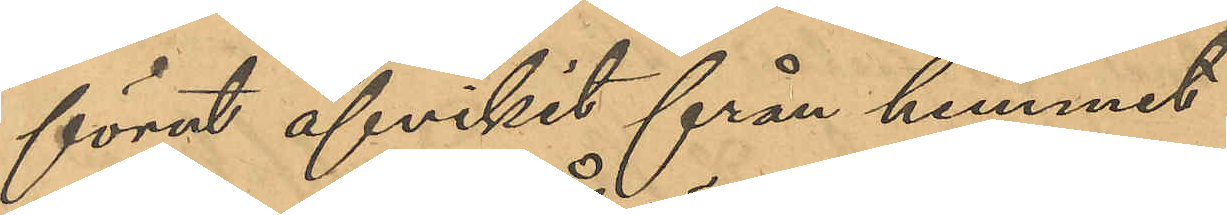förut afvikit från hemmet.
